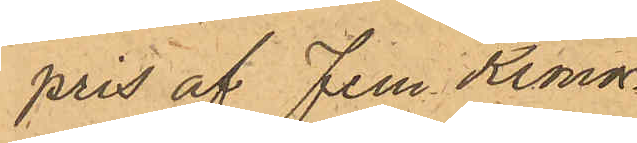pris af Fem Kronor.
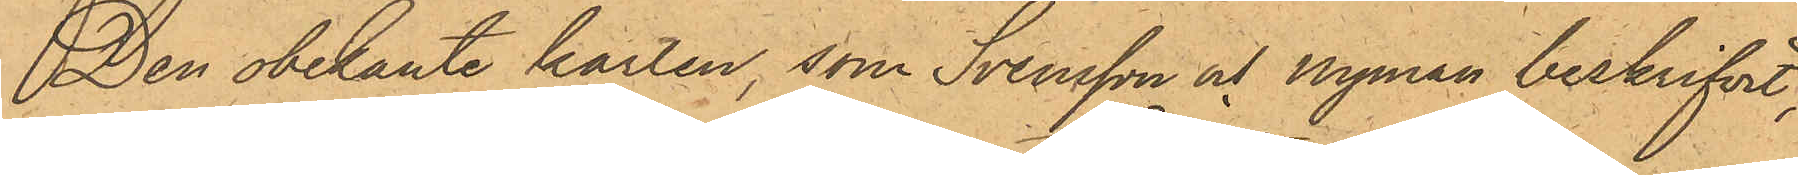Den obekante karlen, som Svensson och Nyman beskrifvit,
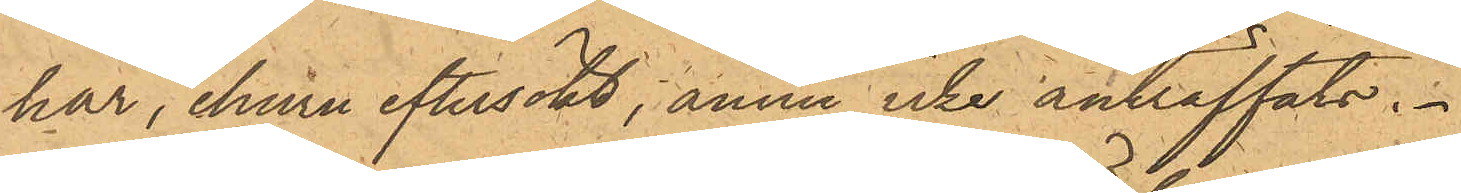har, ehuru eftersökt, ännu icke anträffats.
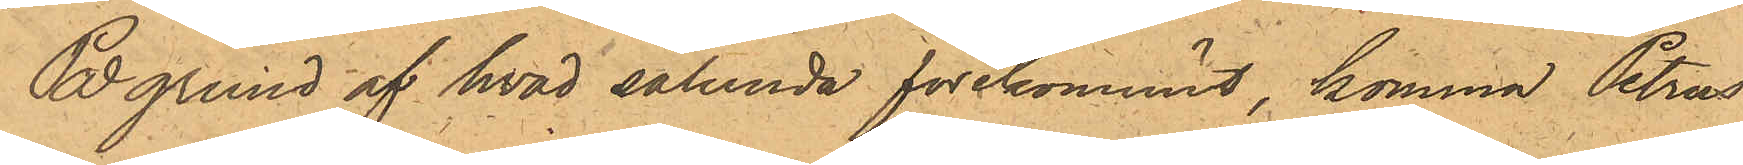På grund af hvad sålunda förekommit, komma Petrus
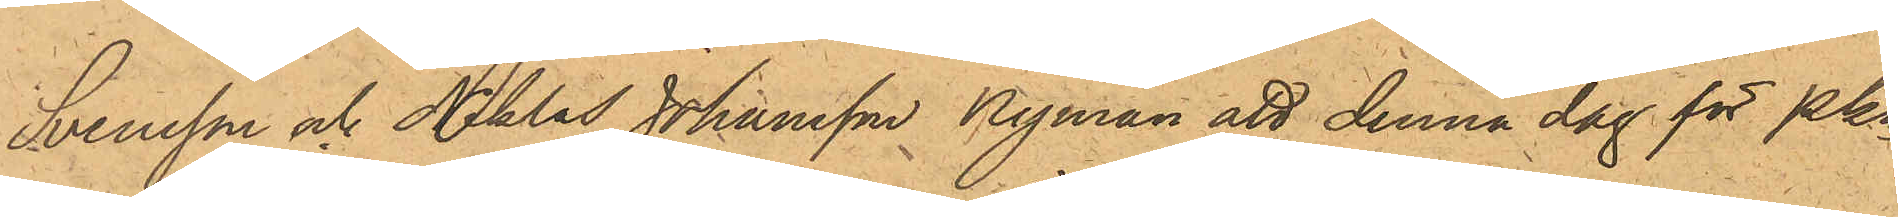Svensson och Nklas Johansson Nyman att denna dag för Pkn
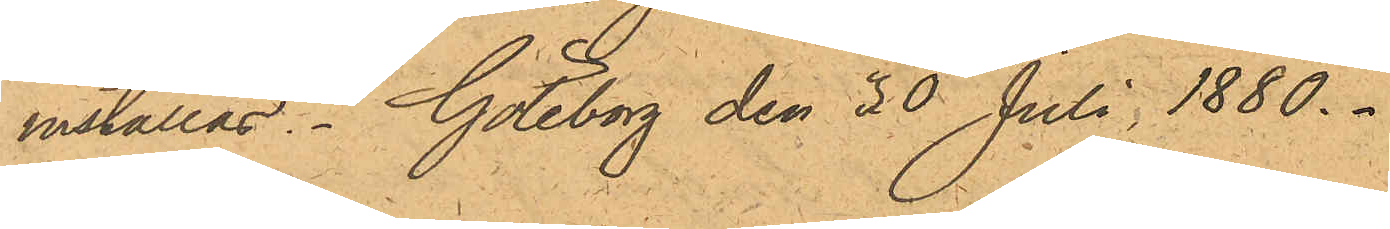inställas. Göteborg den 30 Juli 1880.
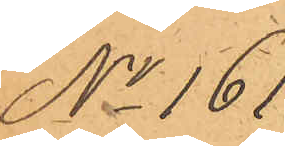No 161.
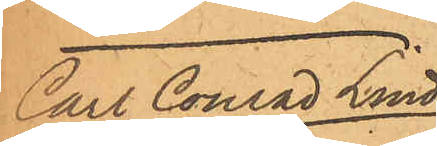Carl Conrad Lind¬
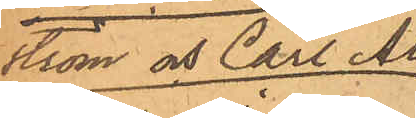ström och Carl Al¬
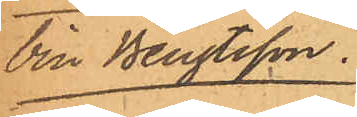bin Bengtsson.
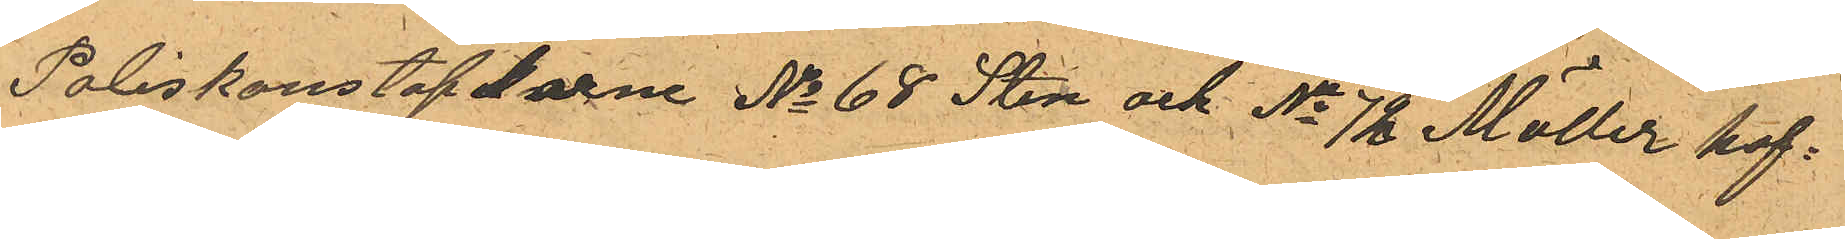Poliskonstaplarne No 68 Sten och No 72 Möller kof¬
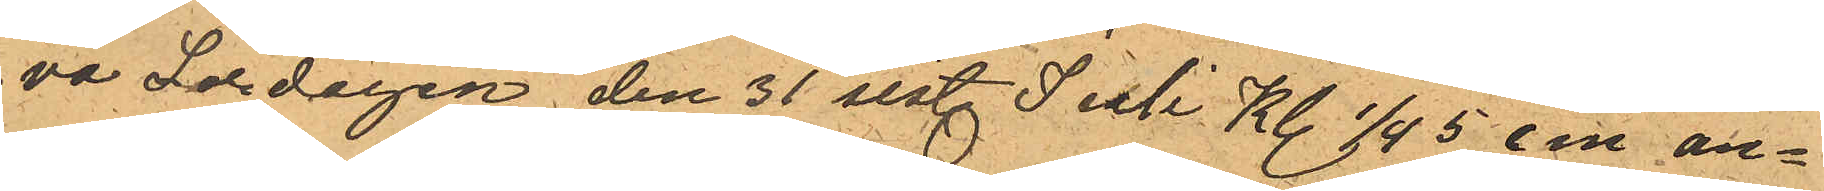va Lördagen den 31 sist. Juli Kl. 1/4 5 em an¬
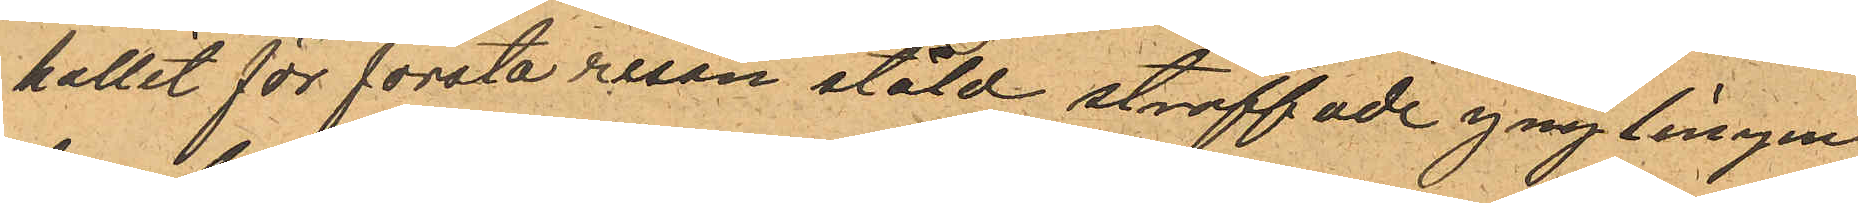hallit för första resan stöld straffade ynglingen
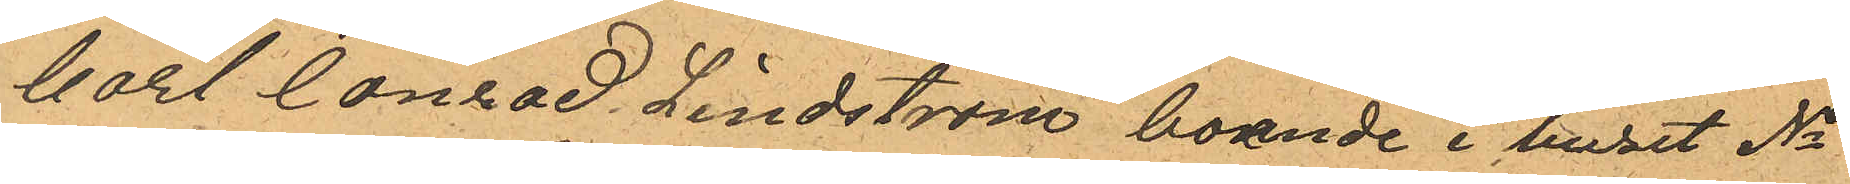Carl Conrad Lindstrom boende i huset No
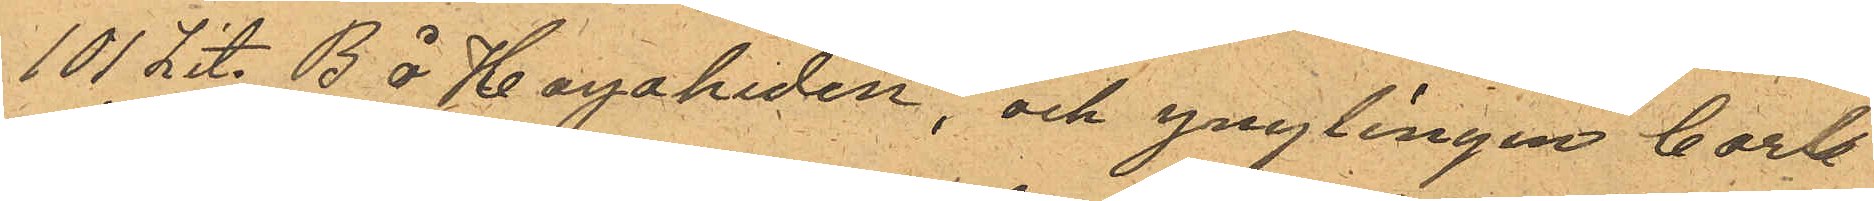101 Lit. B å Hagaheden, och ynglingen Carl
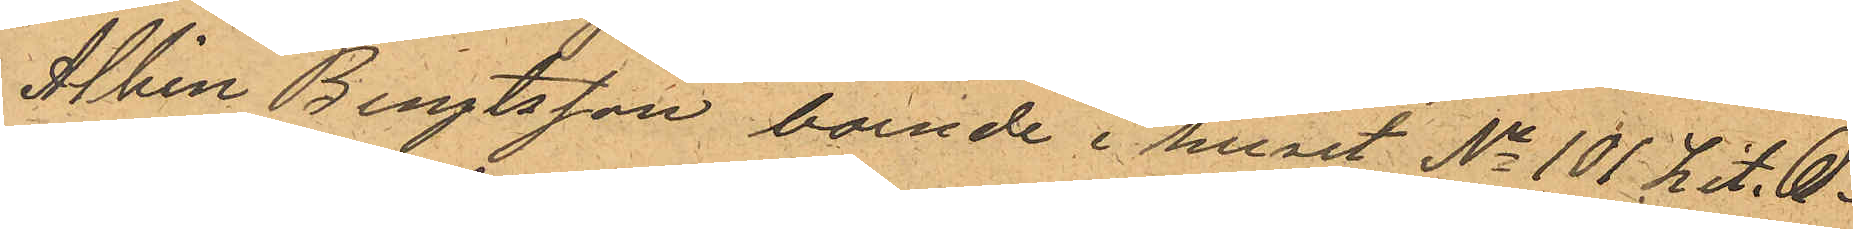Albin Bengtsson, boende i huset No 101 Lit. C.
